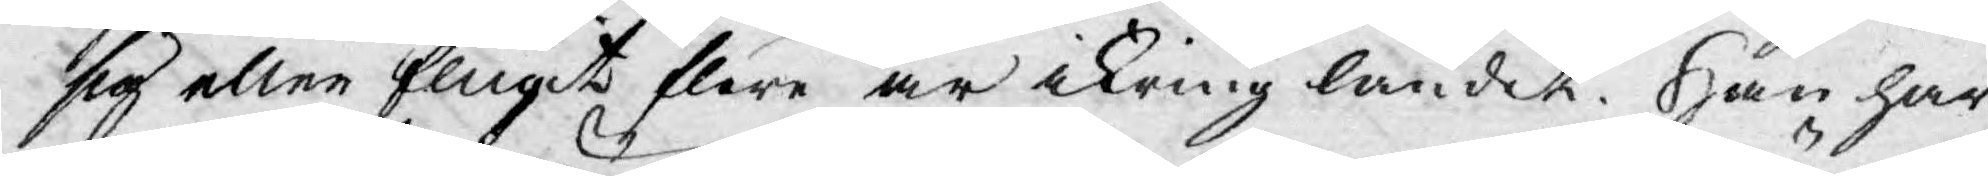sig eller flugit flere år ikring landet. Han har
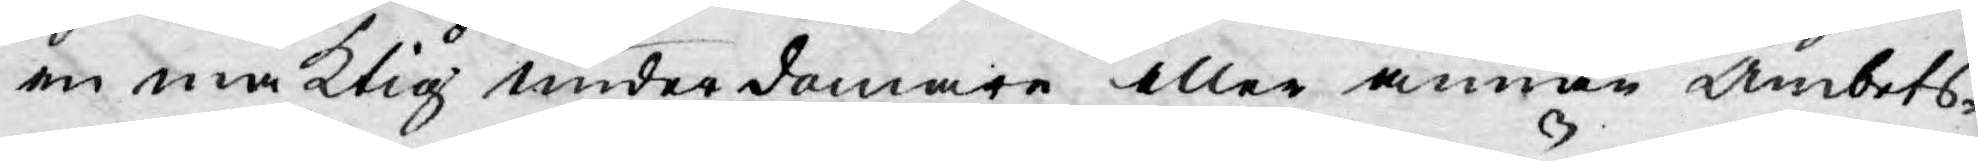en mäktig underdomare eller annan Ämbets¬
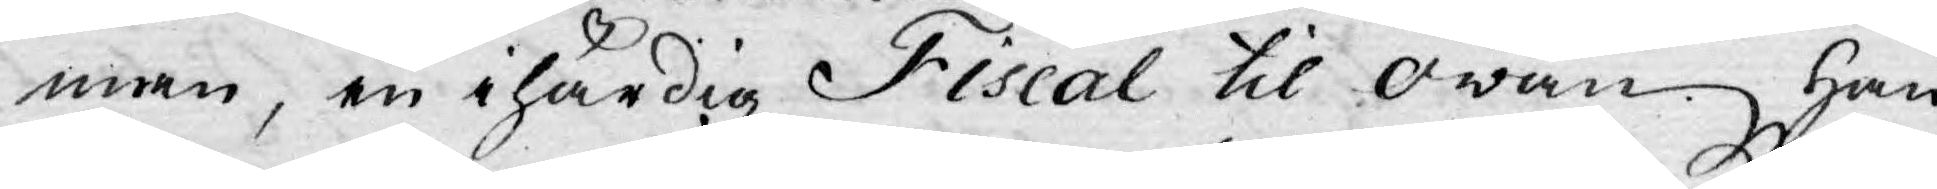man, en ihärdig Fiscal til owän. Han
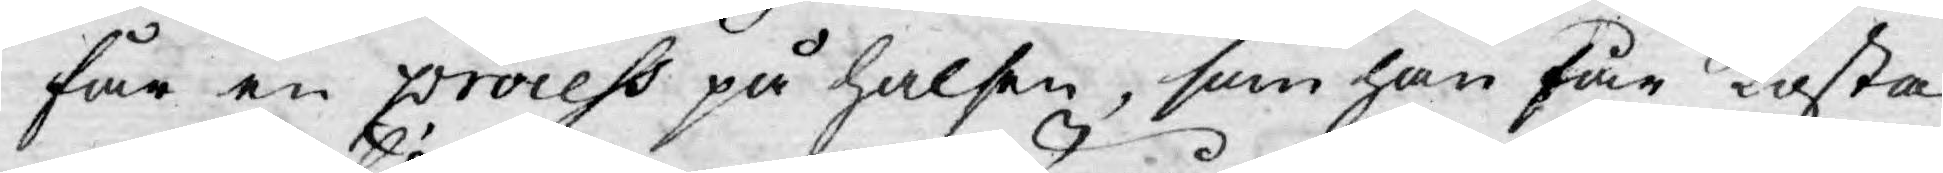får en process på halsen, som han får kosta
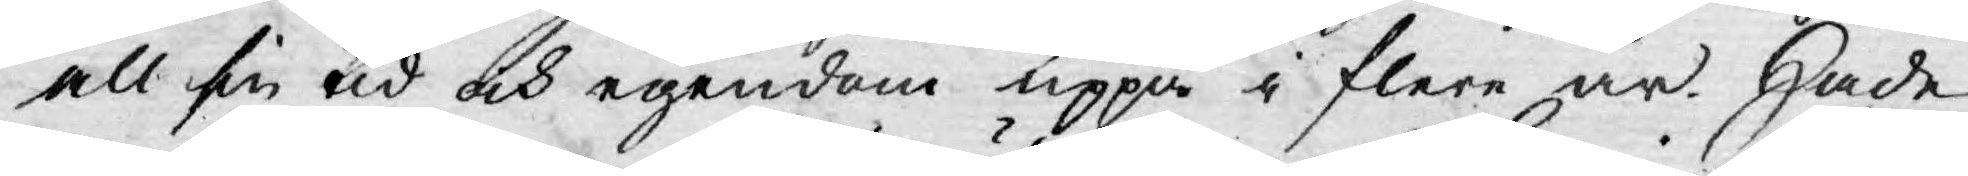all sin tid och egendom uppå i flere år. Hade
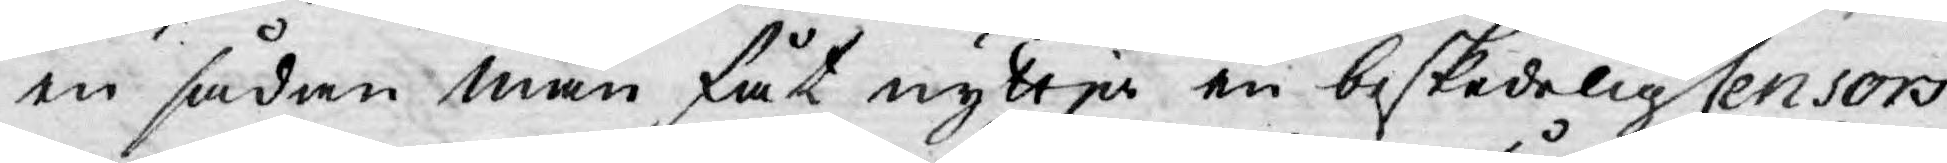en sådan man fåt nyttja en beskedelig Censors
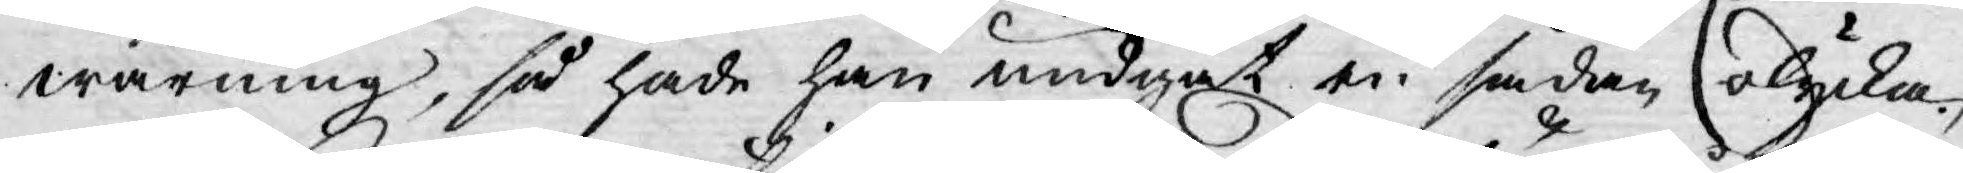warning, så hade han undgåt en sådan olycka.
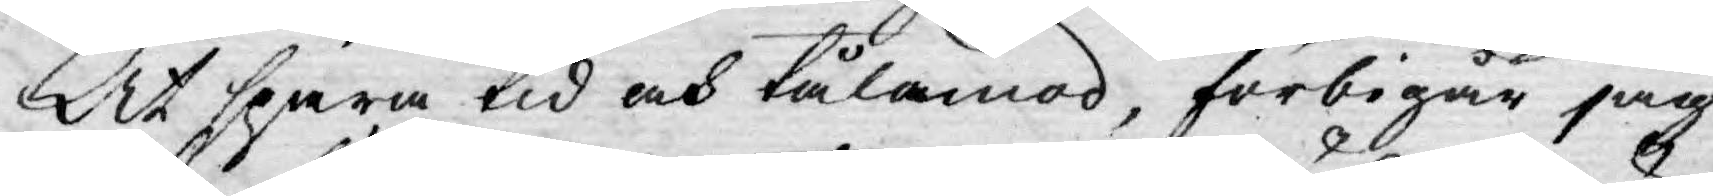At spara tid och tålamod, förbigår jag
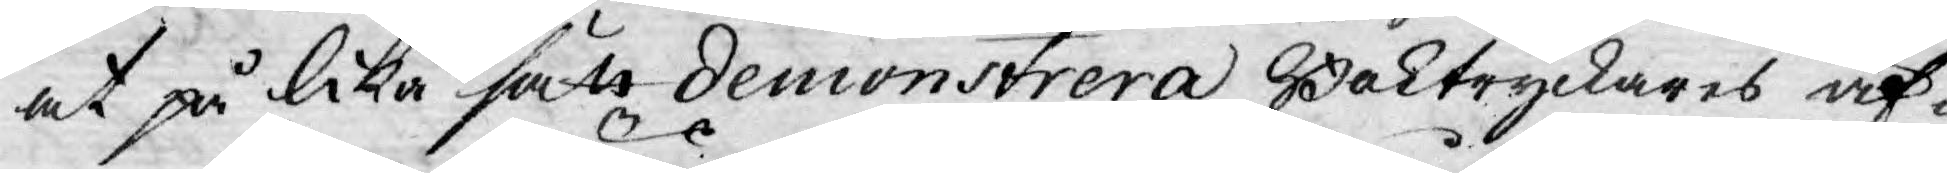at på lika sätt demonstrera Boktryckares äf¬
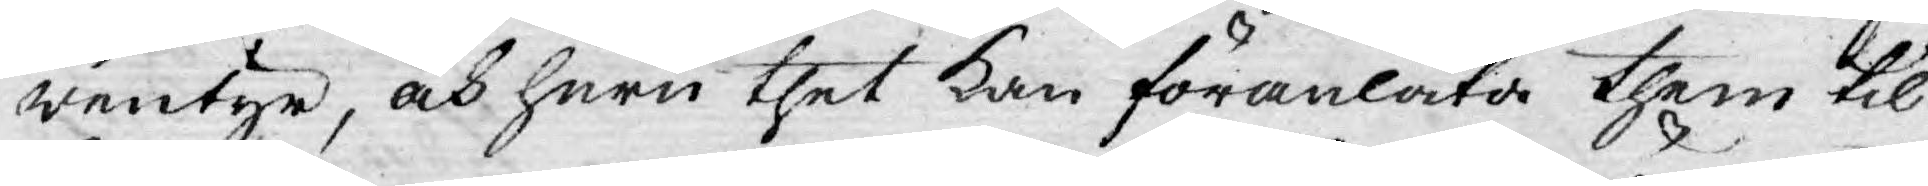wentyr, och huru thet kan föranlåta them til
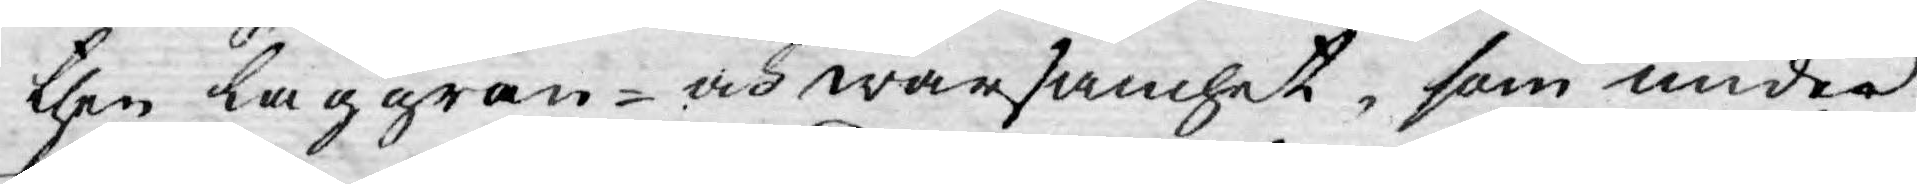then laggran- och warsamhet, som under¬
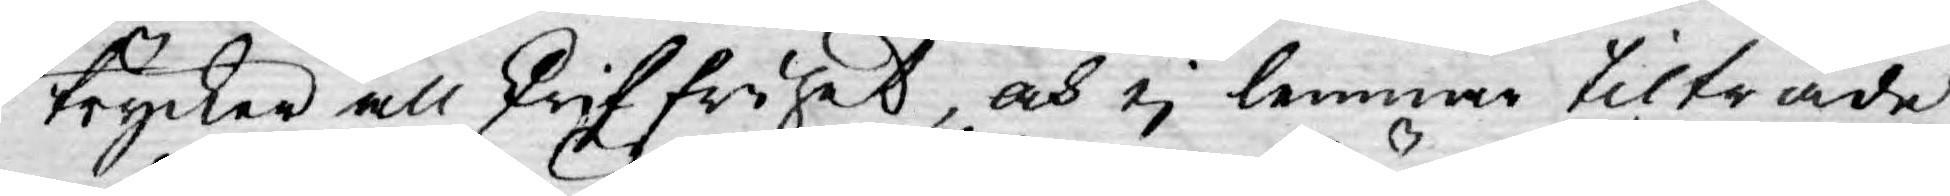trycker all skriffrihet, och ej lemnar tilträde
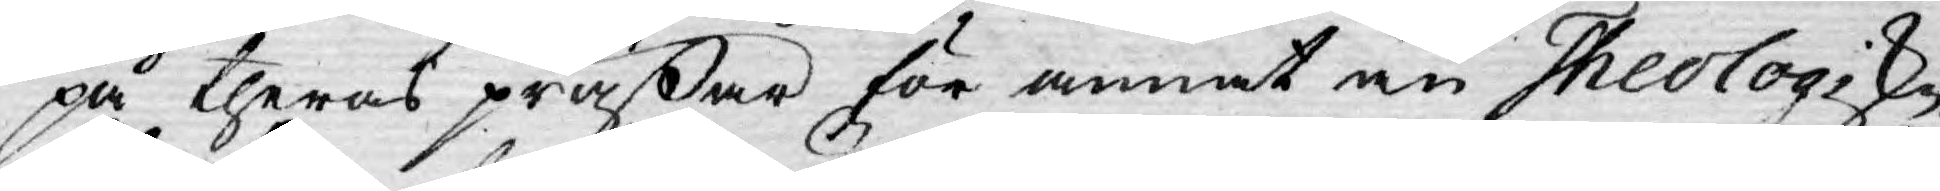på theras präßar för annat än Theologiske
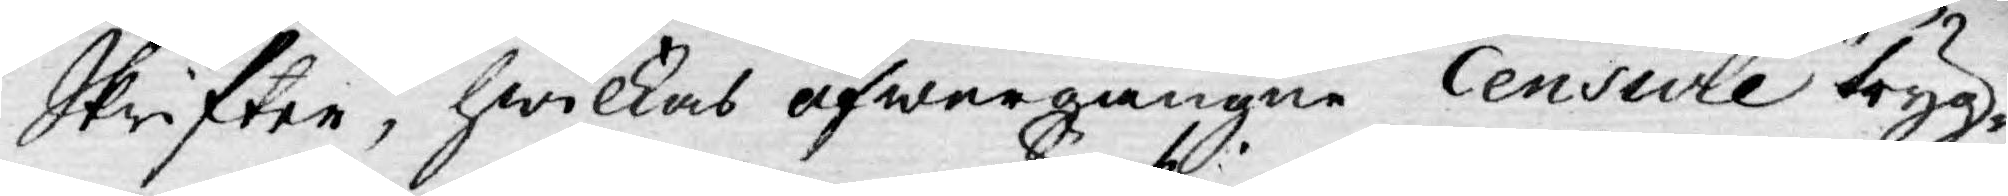Skrifter, hwilkas öfwergångne Censure tryg¬
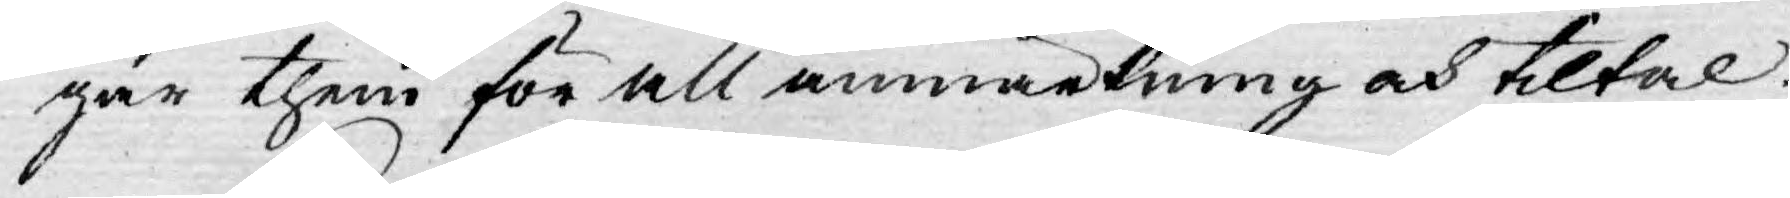gar them för all anmärkning och tiltal.
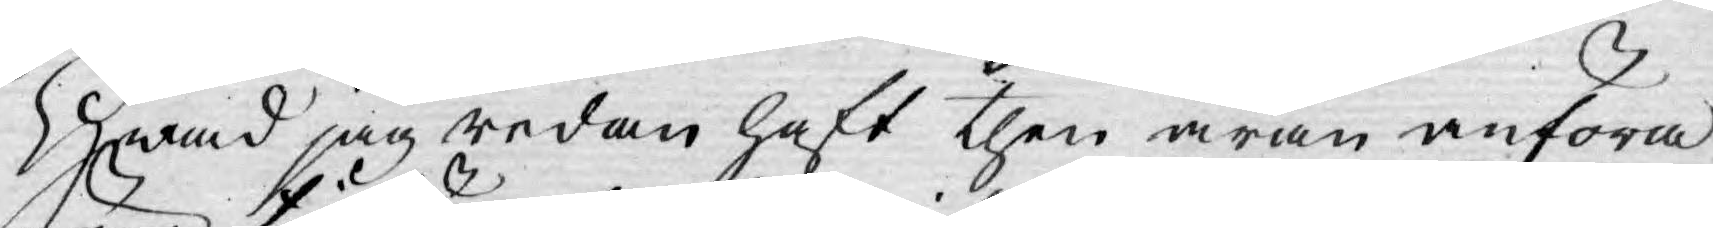Hwad jag redan haft then äran anföra
